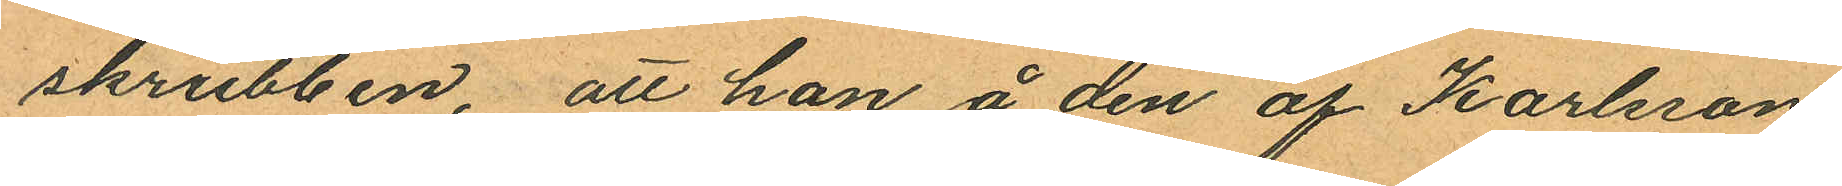skrubben, att han å den af Karlsson
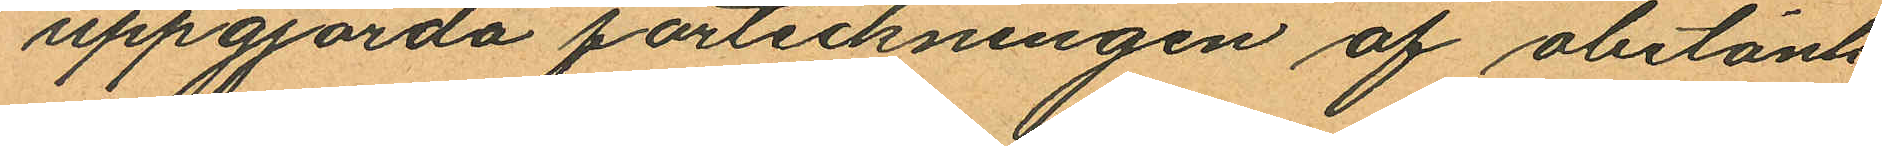uppgjorda förteckningen af obetänk
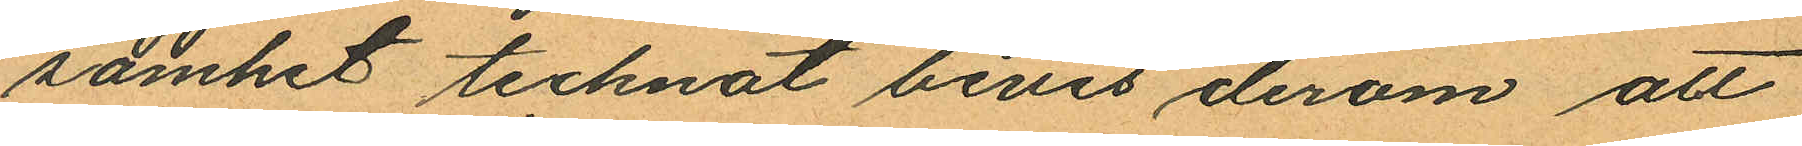samhet tecknat bevis derom att
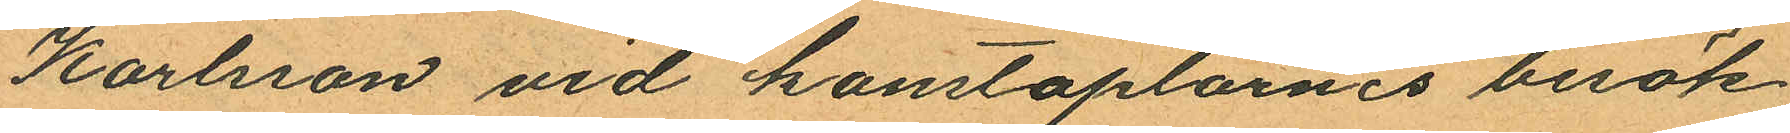Karlsson vid konstaplarnes besök
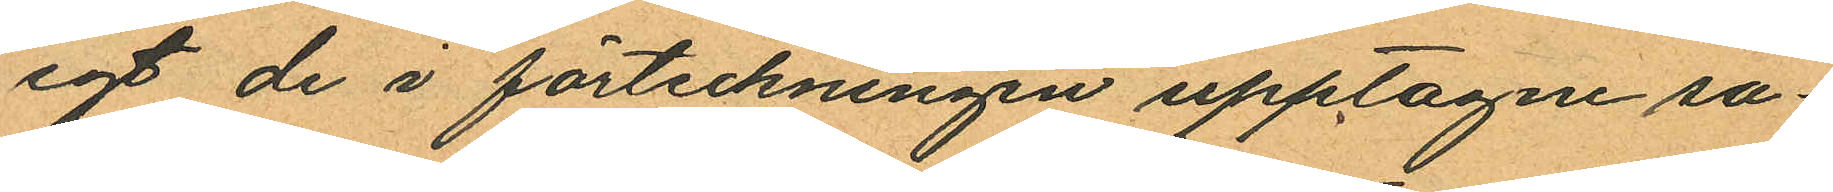egt de i förteckningen upptagne sa¬
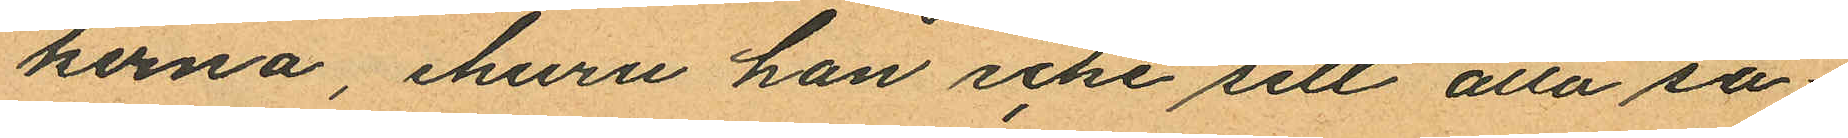kerna, ehuru han icke sett alla sa¬
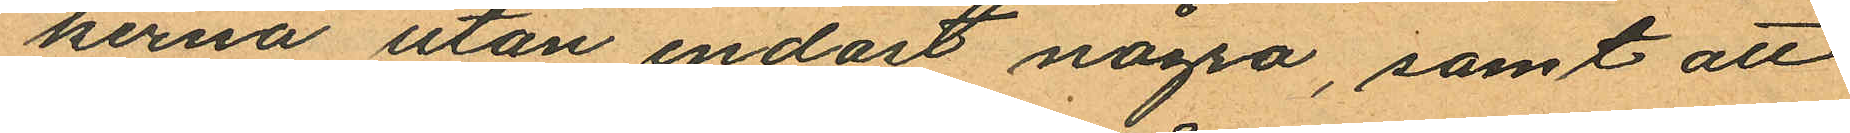kerna utan endast några, samt att
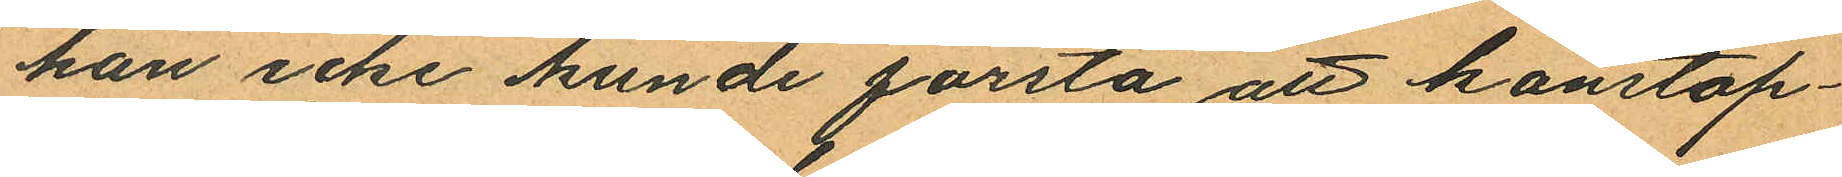han icke kunde förstå att konstap¬
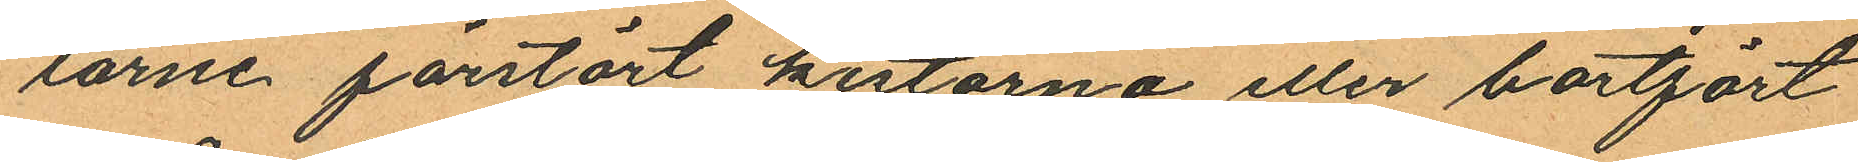larne förstört kistorna eller bortfört
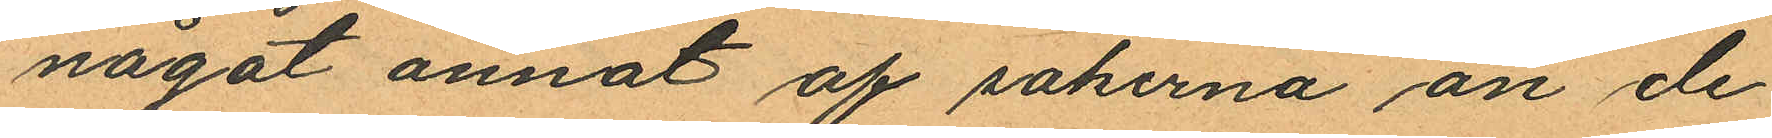något annat af sakerna än de
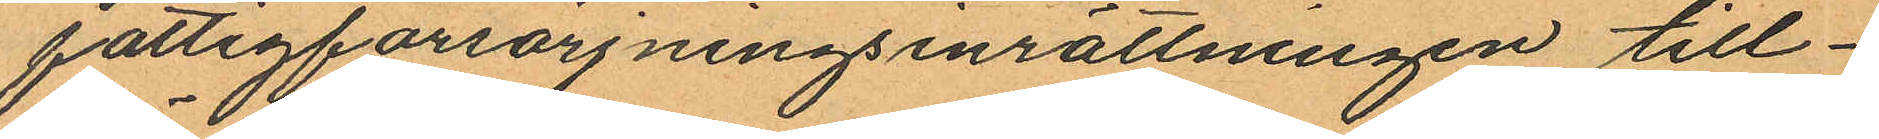fattigförsörjningsinrättningen till¬
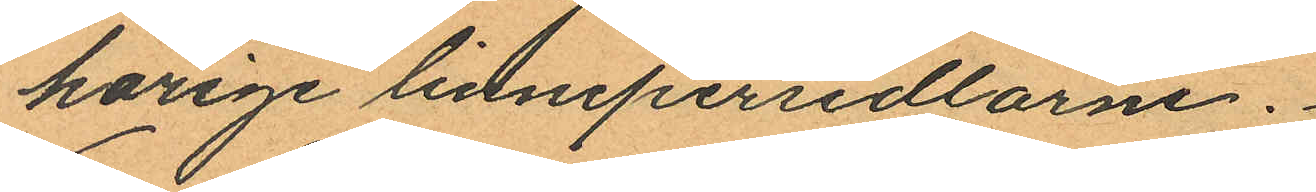hörige linnepersedlarne.
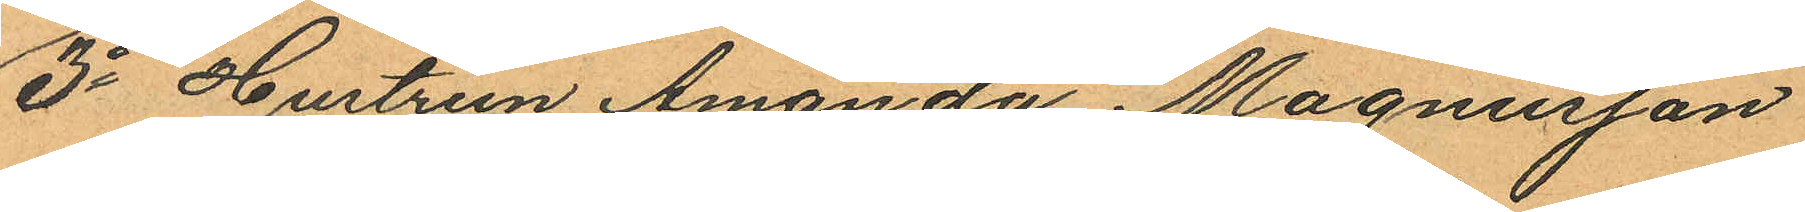3o Hustrun Amanda Magnusson
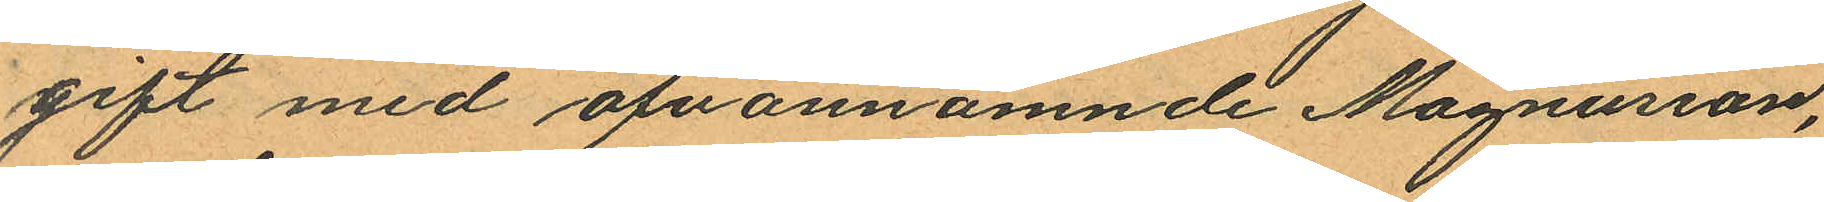gift med ofvannämnde Magnusson,
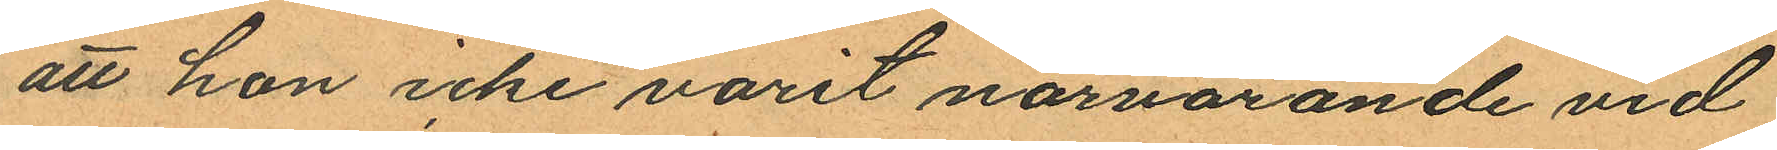att hon icke varit närvarande vid
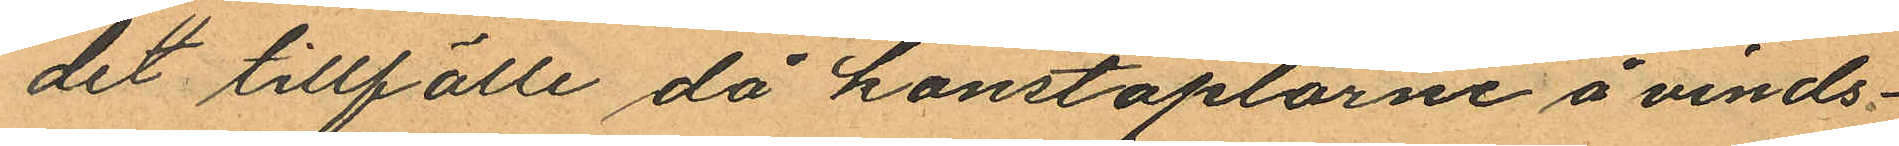det tillfälle då konstaplarne å vinds¬
